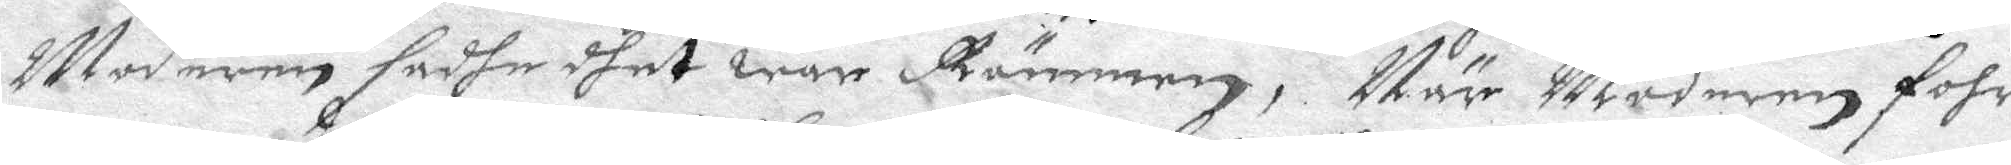Moderen hadhe dhet war Rämmen, När Moderen fohr
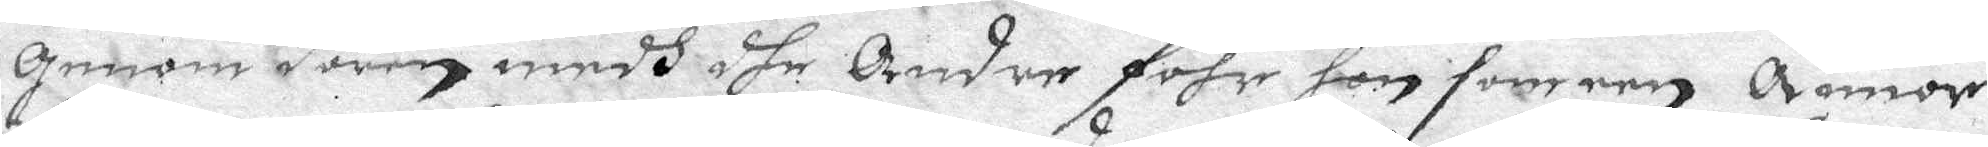genom dören medh dhe Andre fohr hon som een Annor
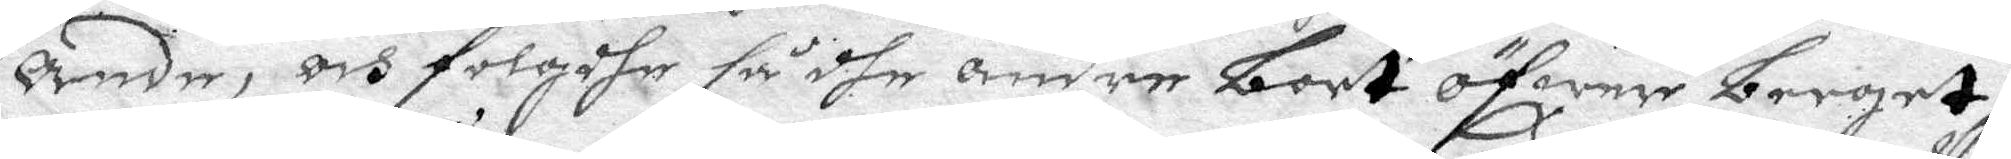Ande, och folgdhe så dhe andre bort öfwer berget;
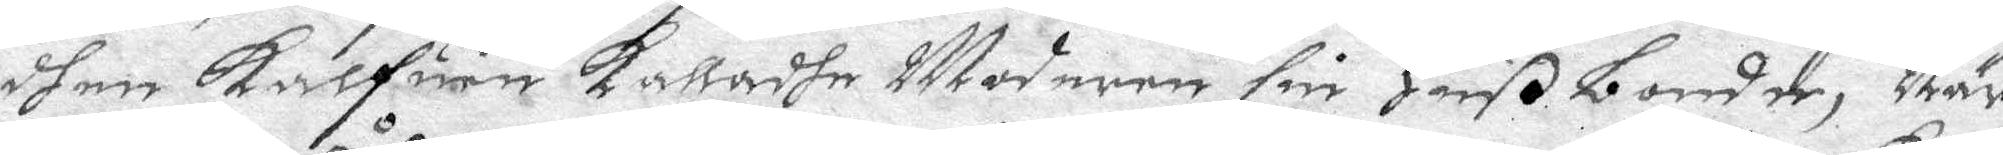dhen kalfuen kalladhe Moderen sin Huß bonde, När
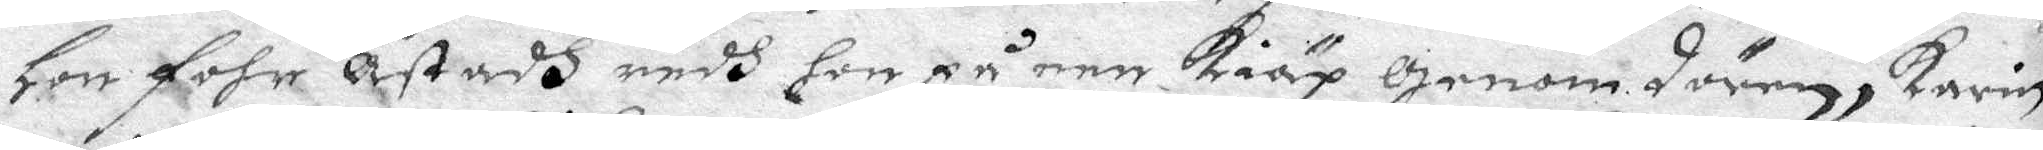Hon fohr Åstadh redh hon på een Kiäp genom dören, Karin
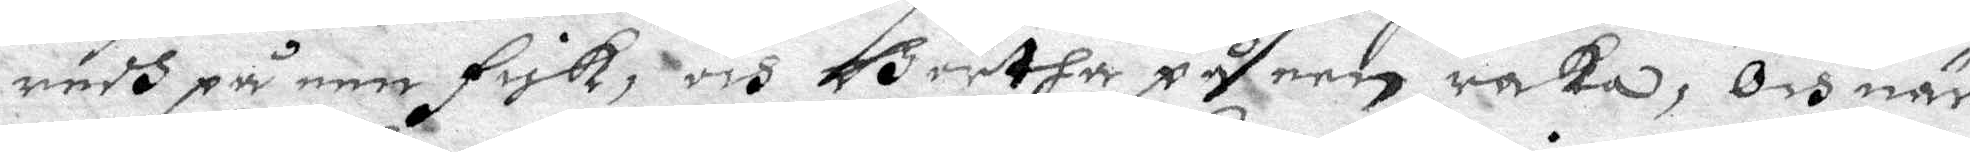redh på een fisk, och Börtha på een raka; Och när
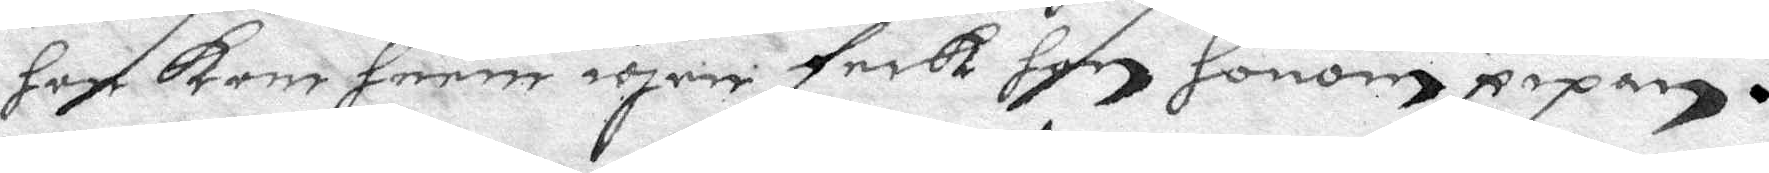hon kom hem igen feck hon honom pipan.
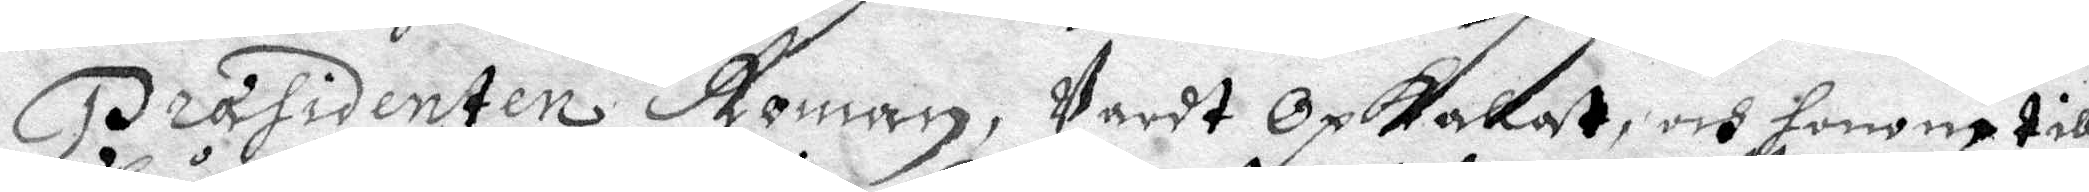Præsidenten Roman, Wardt Opkallat, och honom till¬
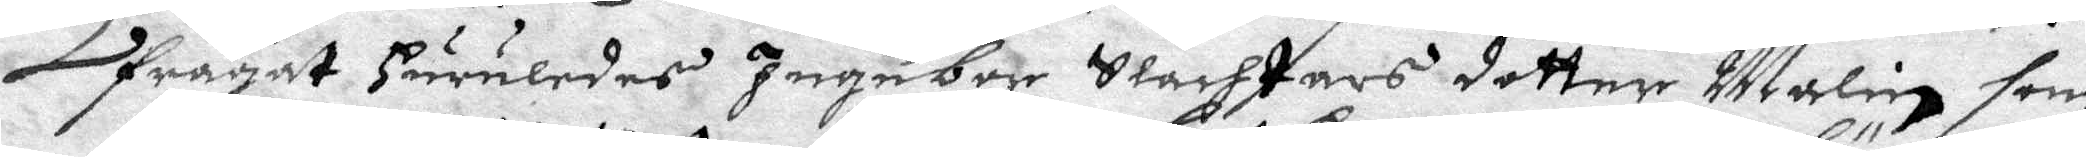frågat huruledes Ingebor Slachtars dotter Malin som
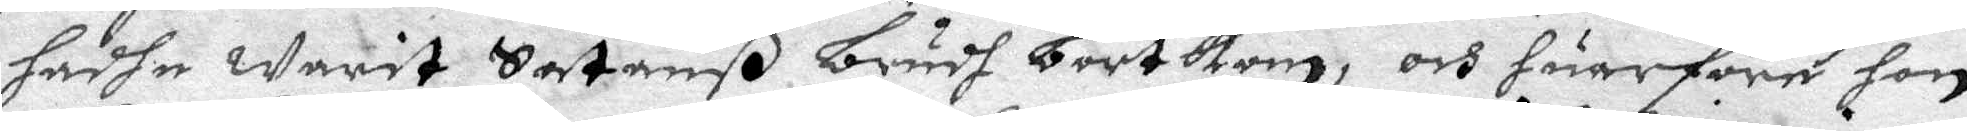hadha warit Satanß brudh bortkom, och huarföre hon
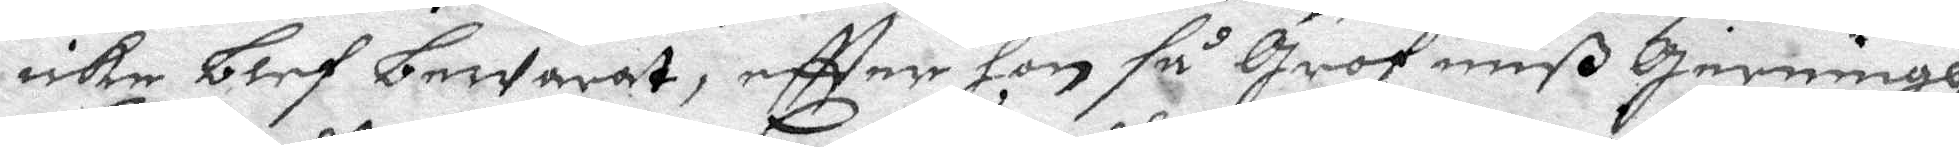icke blef bewarat, eftter hon så grof miß gerningh
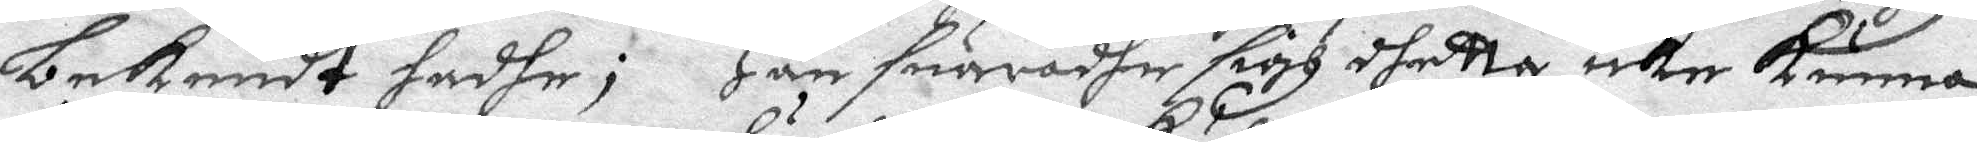bekendt hadhe; Han suaradhe sigh dhetta icke kunna
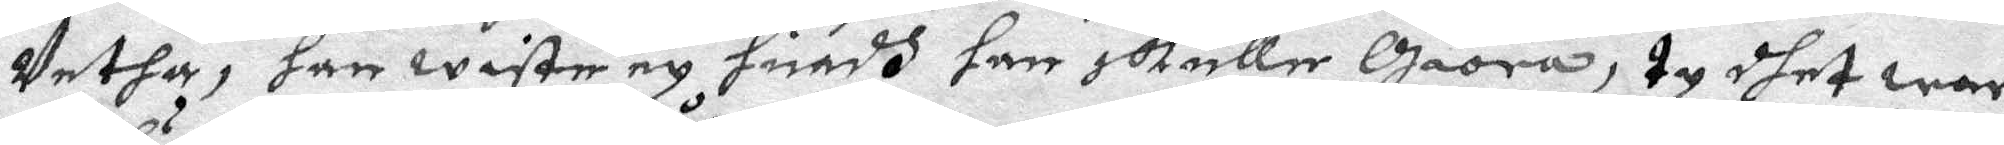Vetha, han wiste ey huadh han skulle giöra, ty dhet war
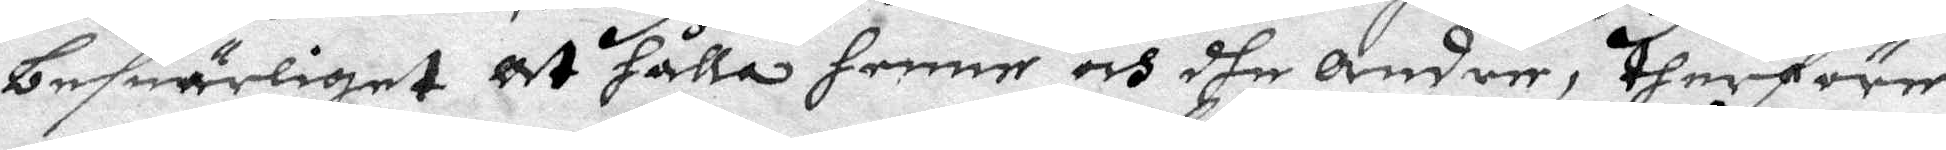besuerliget at hålla henne och dhe andre, therföre
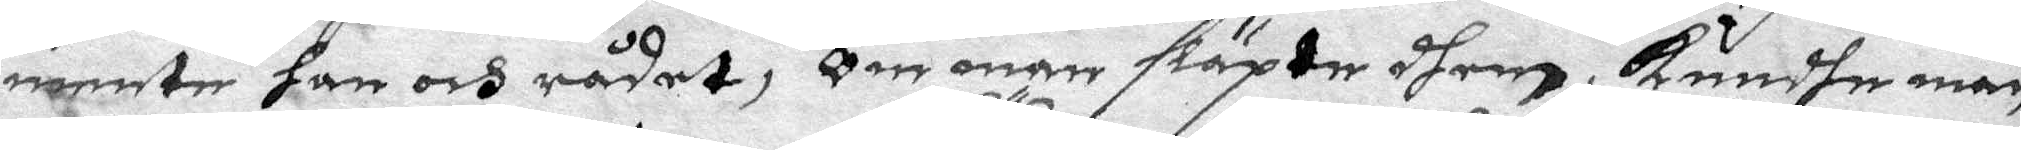mente han och rådet, Om man släpte dhem, Kundhe man
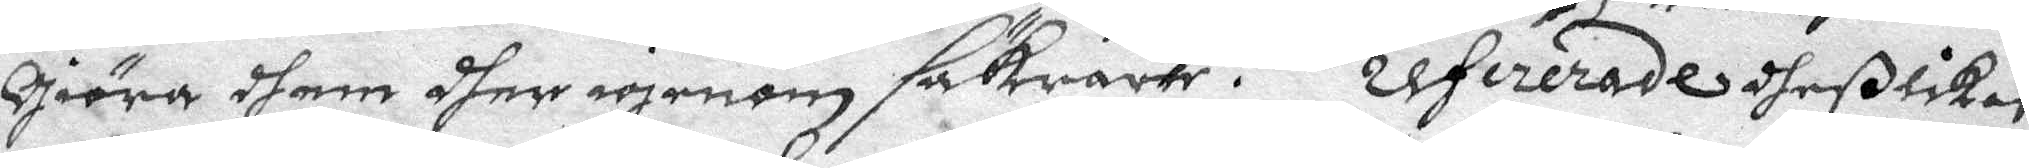giöra dhem dher igenom säkrare. Refererade dheßlikest
